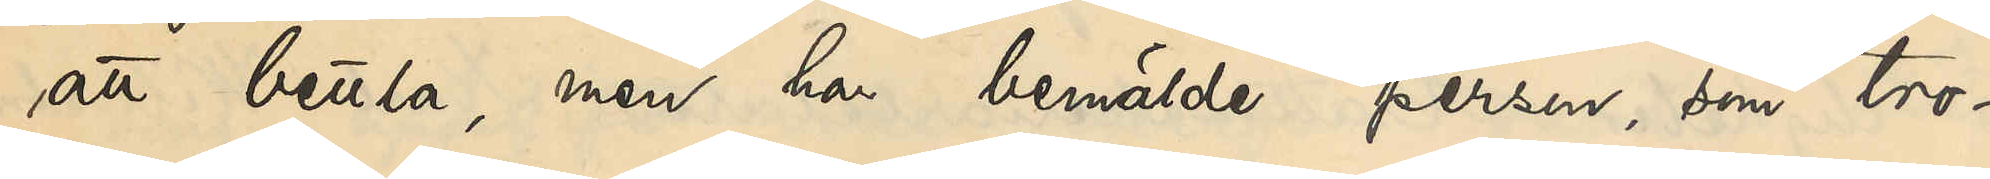att bettla, men har bemälde person, som tro¬
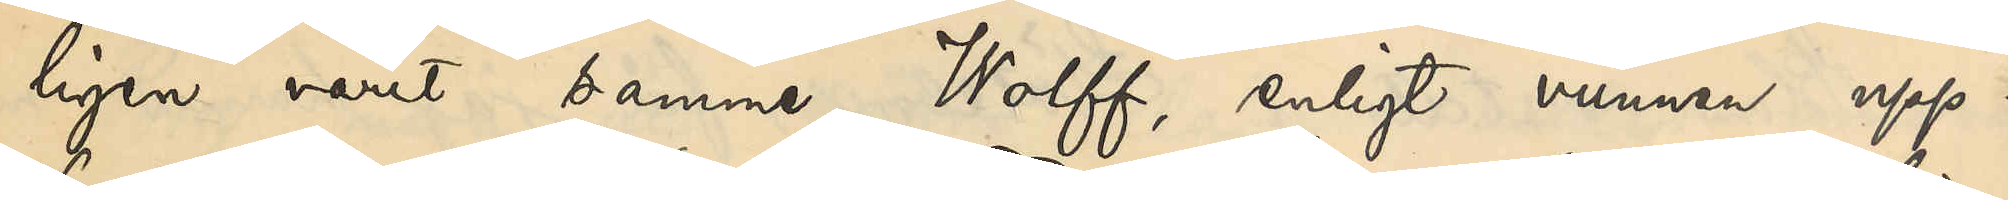ligen varit denne Wolff, enligt vunnen upp¬
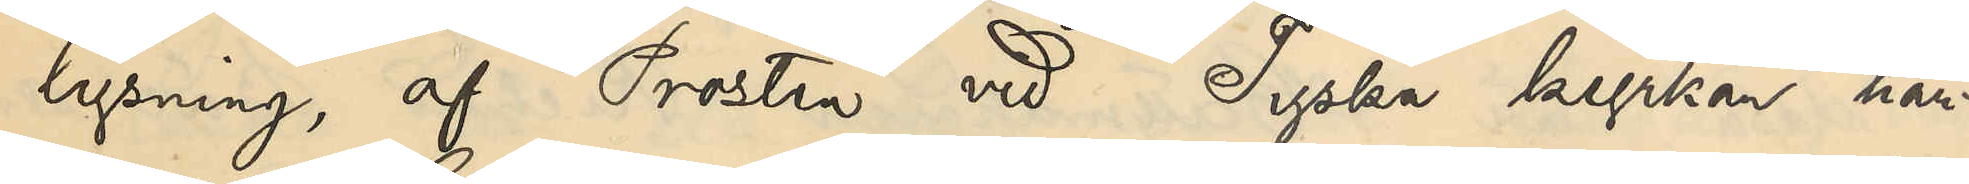lysning af Prosten vid Tyska kyrkan här¬
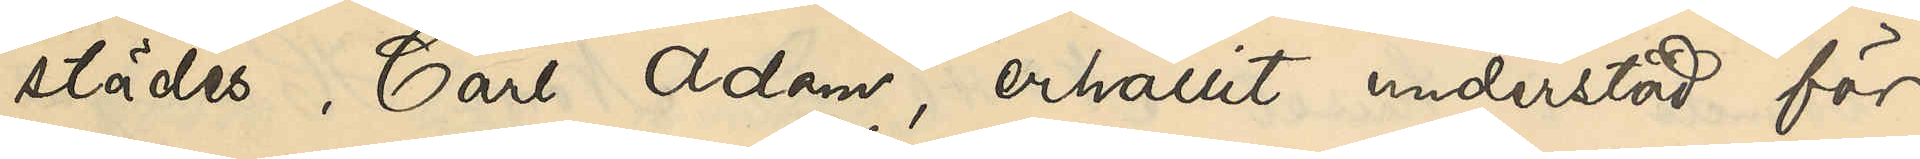städes Carl Adam, erhållit understöd för
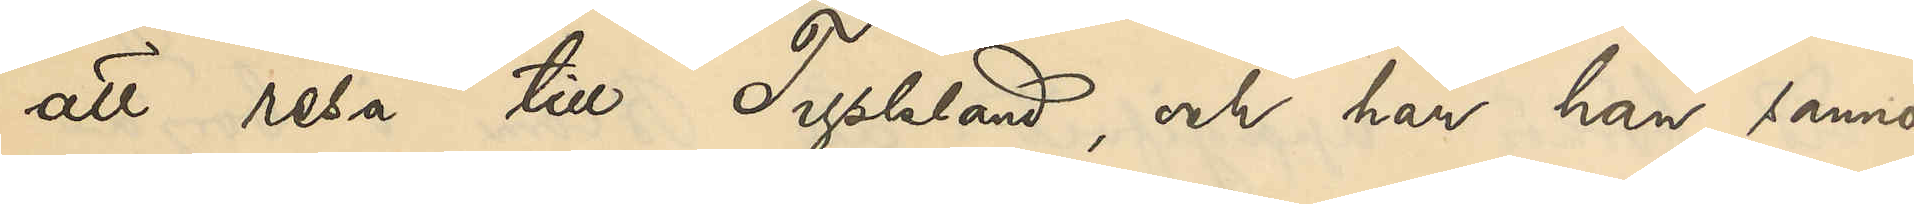att resa till TYskland, och har han sanno¬
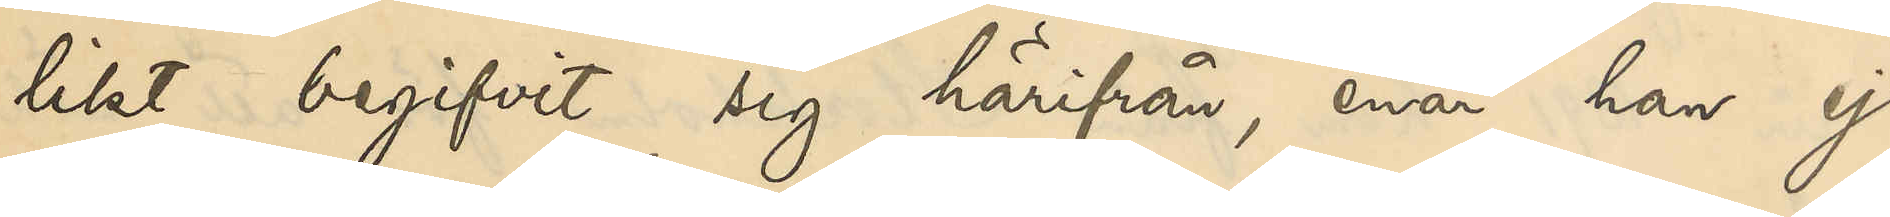likt begifvit sig härifrån, enär han ej
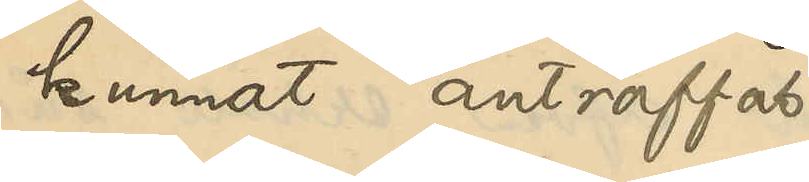kunnat anträffas.
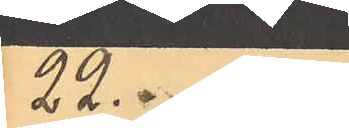No 13
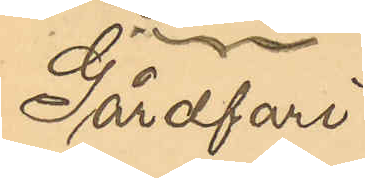Gårdfari¬
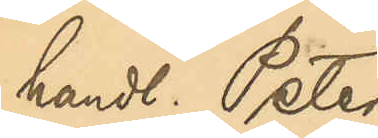handl. Peter
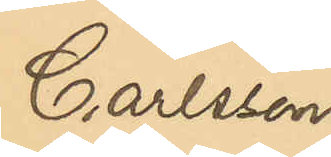Carlsson
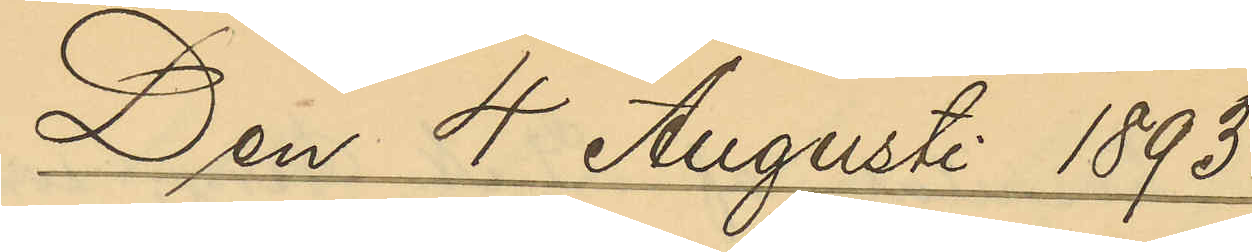Den 4 Augusti 1893.
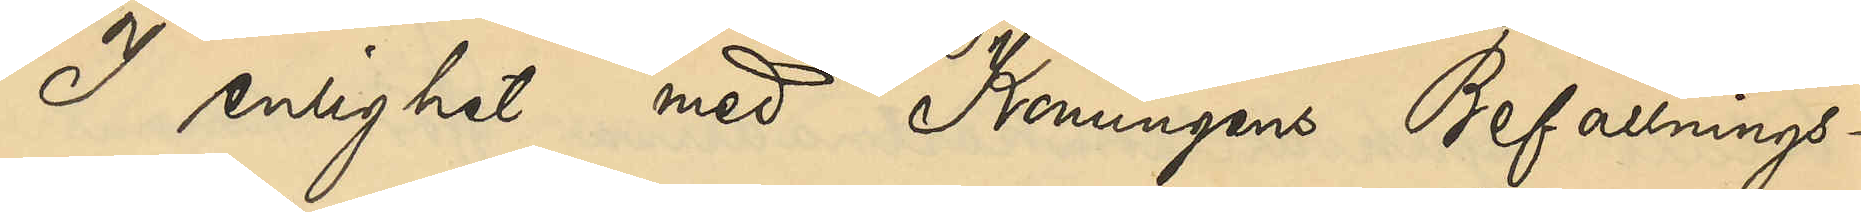I enlighet med Konungens Befallnings¬
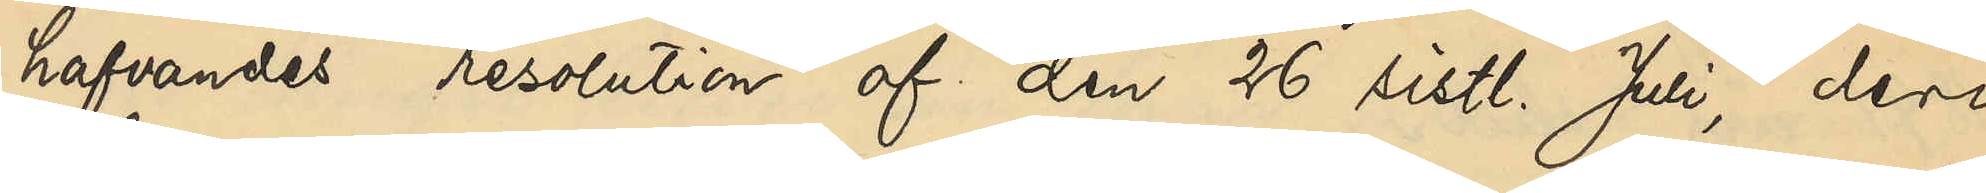hafvandes resolution den 26 sistl Juli, deri
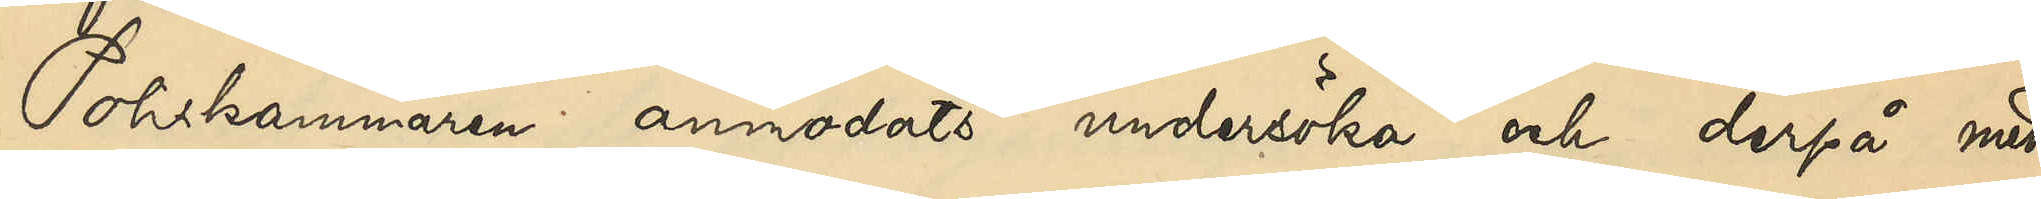Poliskammaren anmodats undersöka och derpå med¬
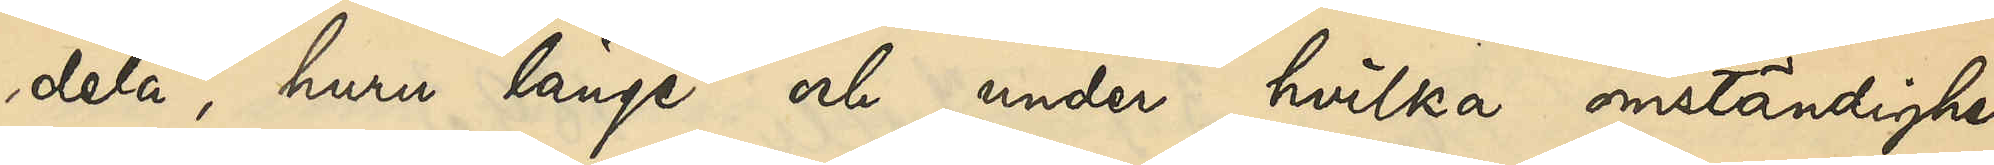dela, huru länge och under hvilka omständighe¬
